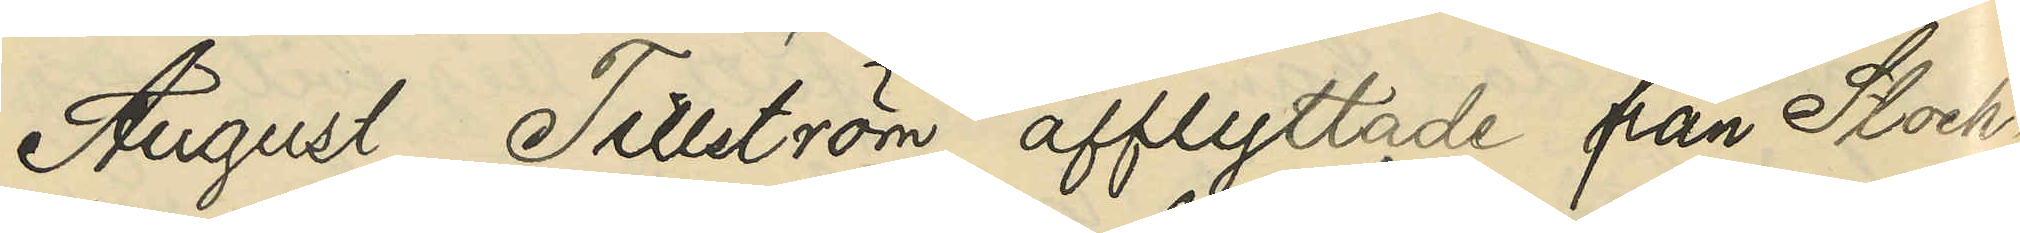August Tillström afflyttade från Stock¬
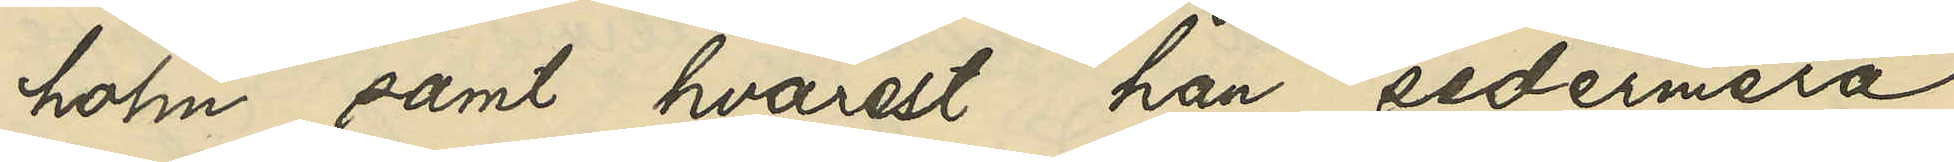holm samt hvarest han sedermera
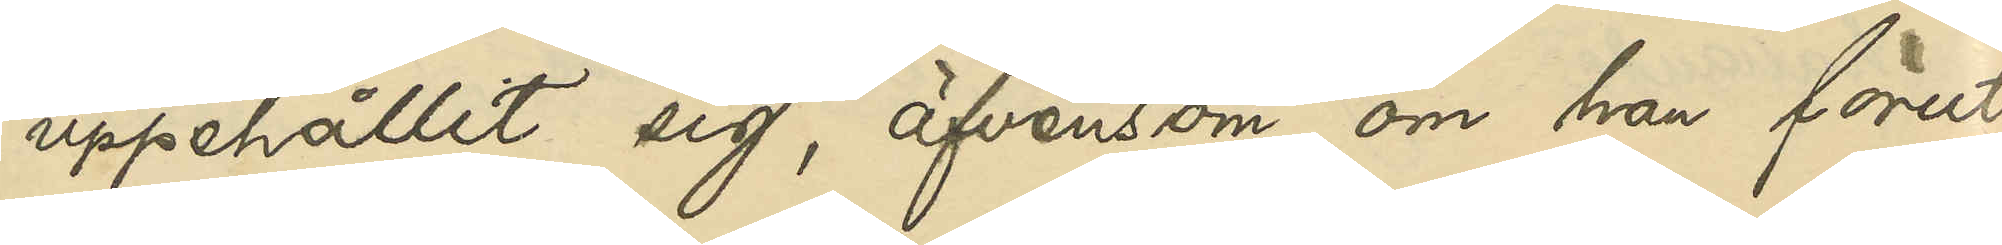uppehållit sig, äfvensom om han förut
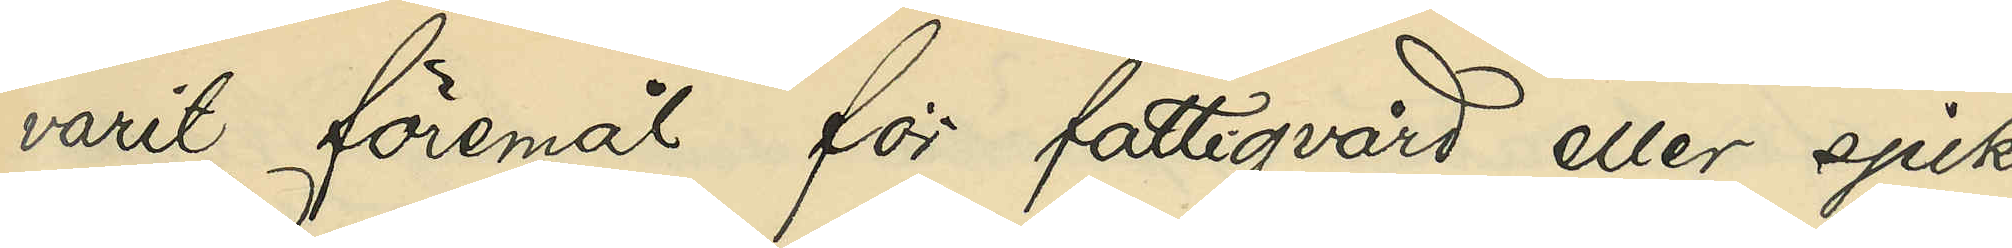varit föremål för fattigvård eller sjuk¬
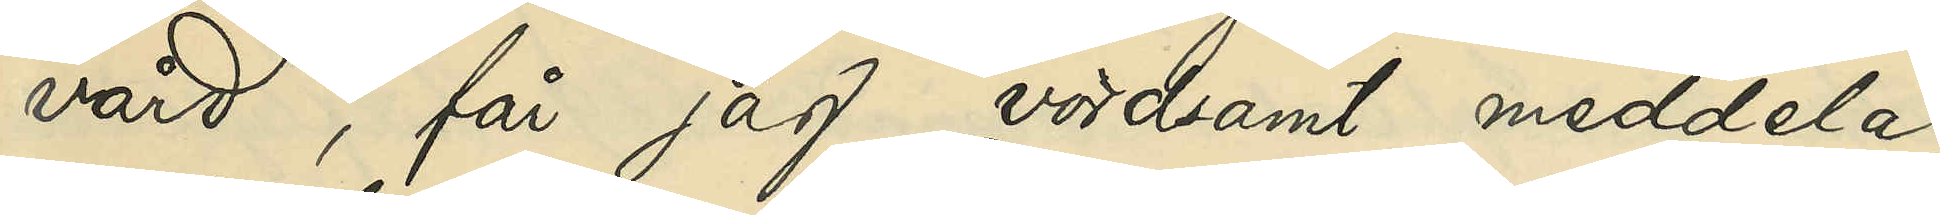vård, får jag vördsamt meddela,
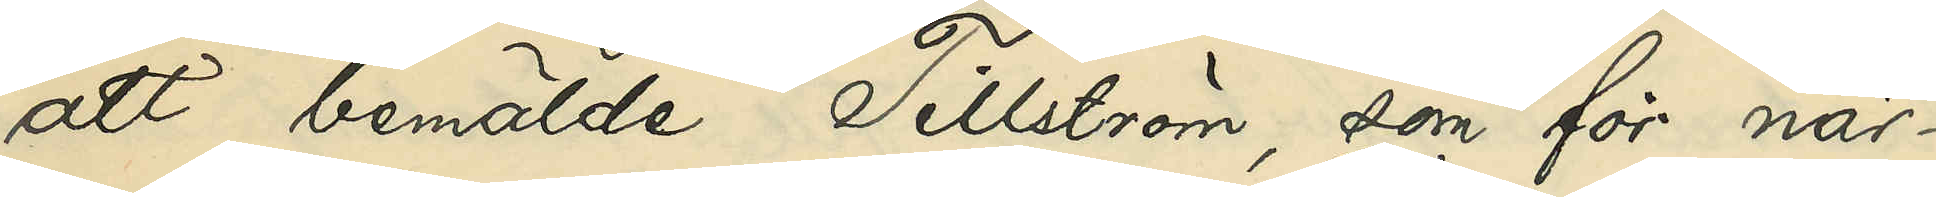att bemälde Tillström, som för när¬
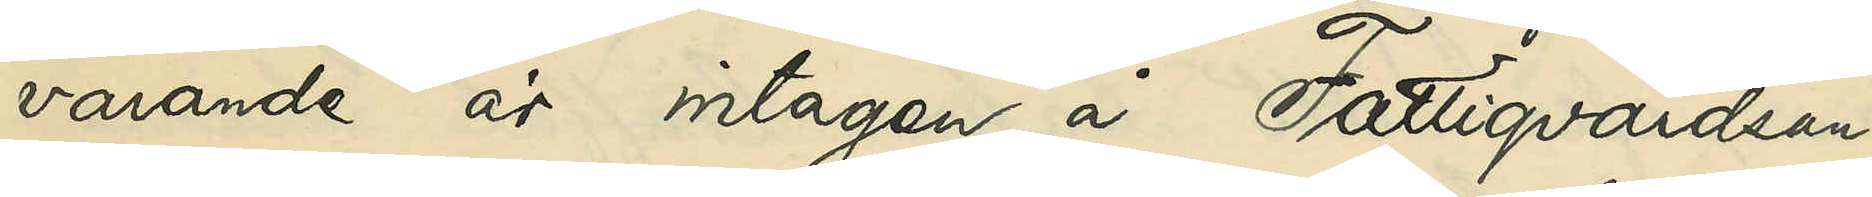varande är intagen å Fattigvårdsan¬
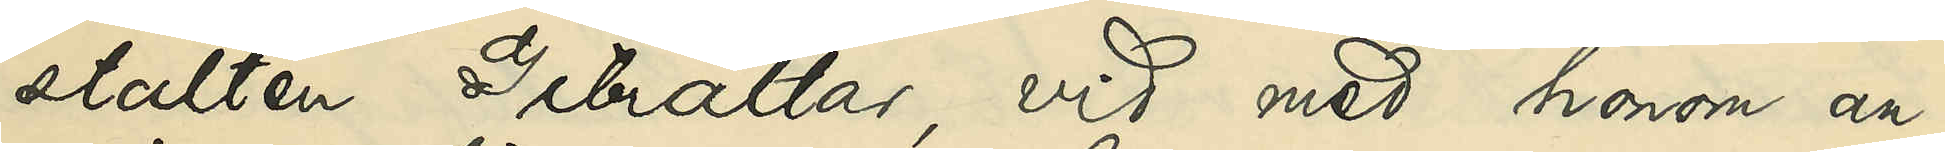stalten Gibraltar, vid med honom an¬
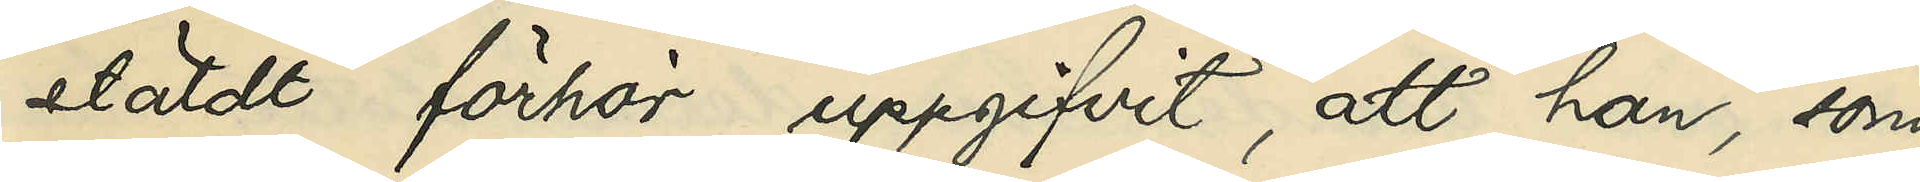stäldt förhör uppgifvit, att han, som
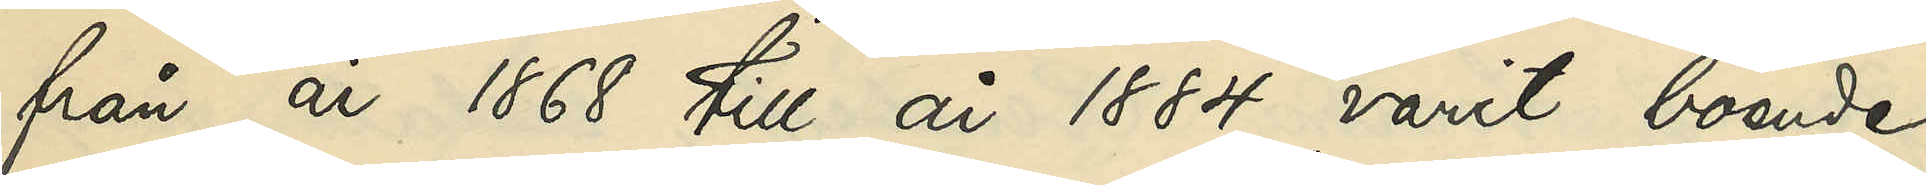från år 1868 till år 1884 varit boende
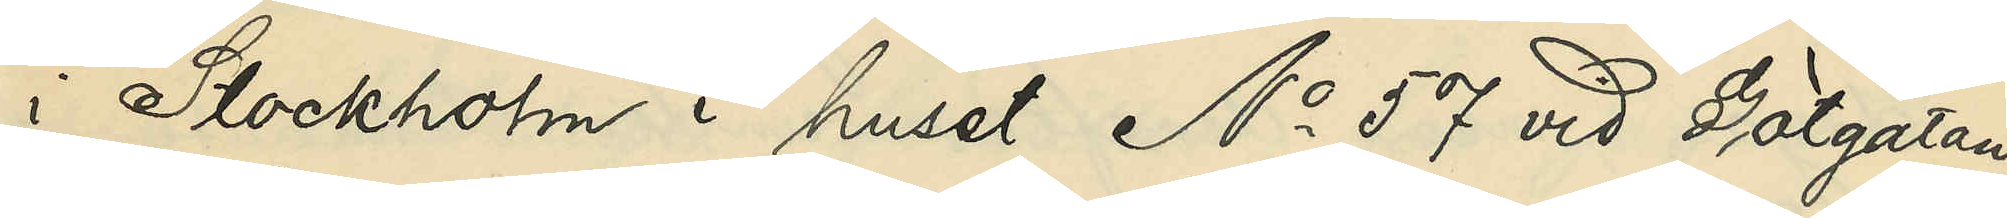i Stockholm i huset No 57 vid Götgatan,
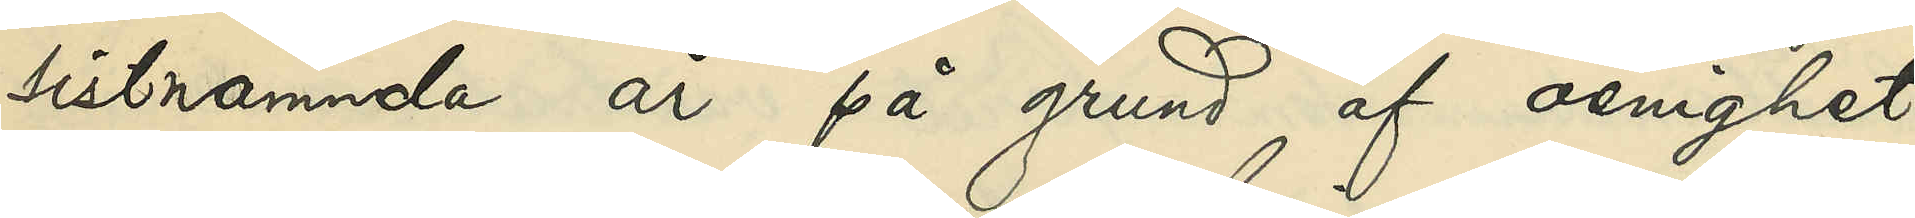sistnämnde år på grund af oenighet
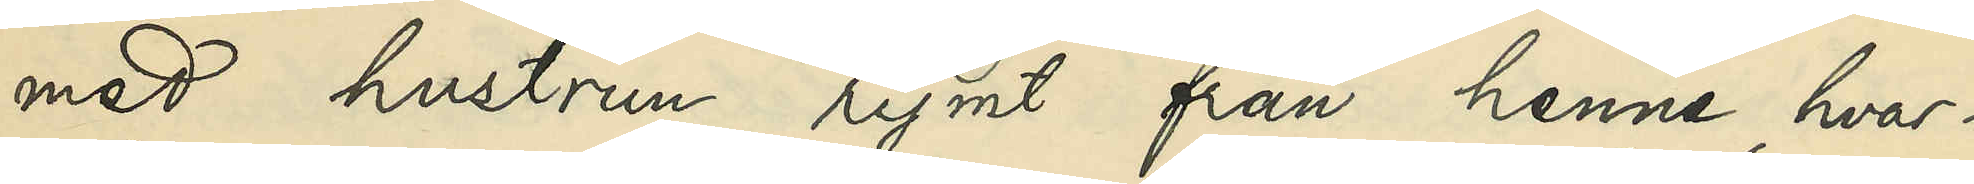med hustrun rymt från henne, hvar¬
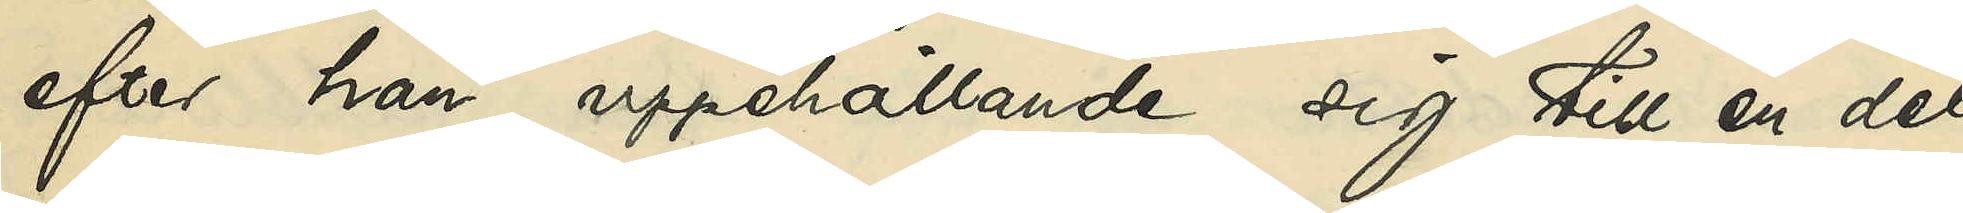efter han, uppehållande sig till en del
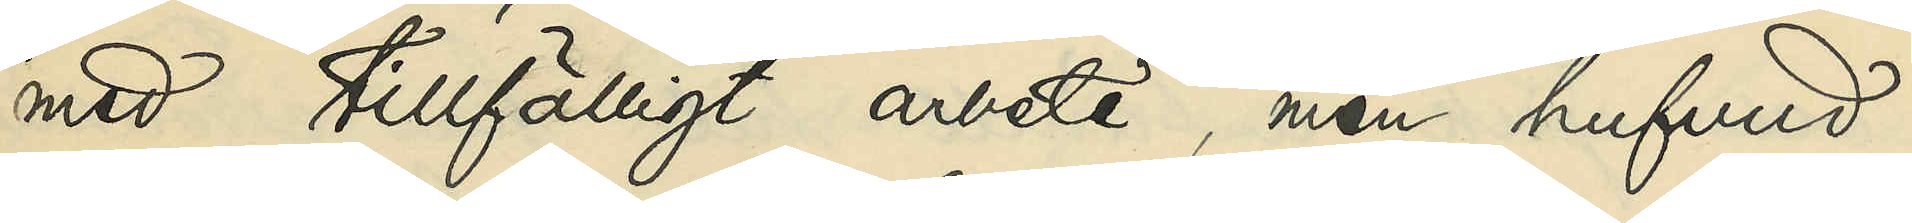med tillfälligt arbete, men hufvud¬
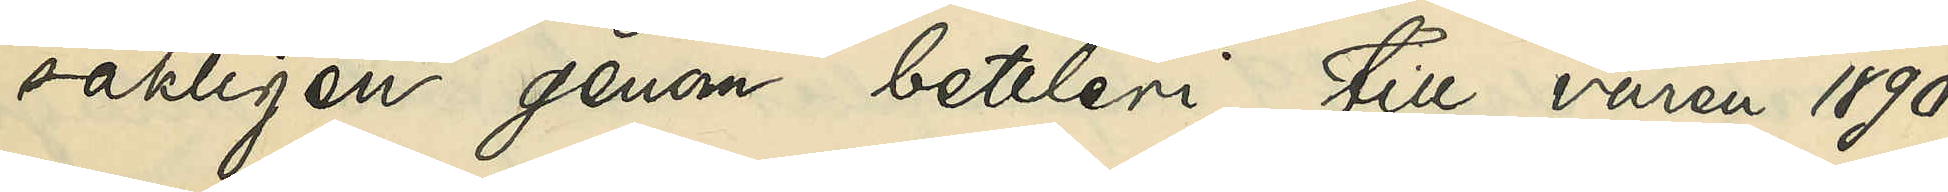sakligen genom bettleri till våren 1890
